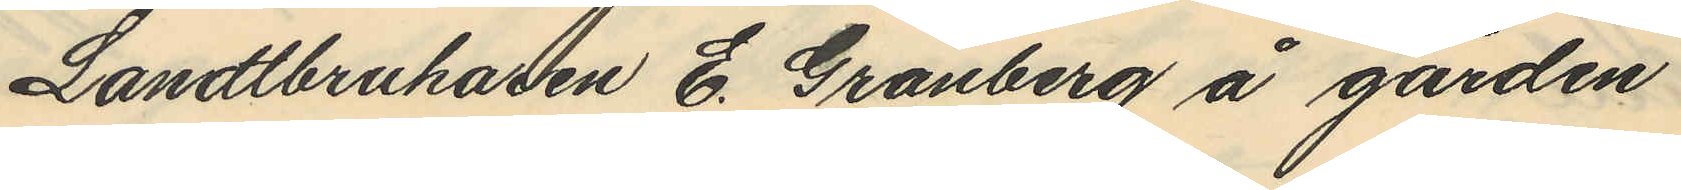Landtbrukaren E. Granberg å gården
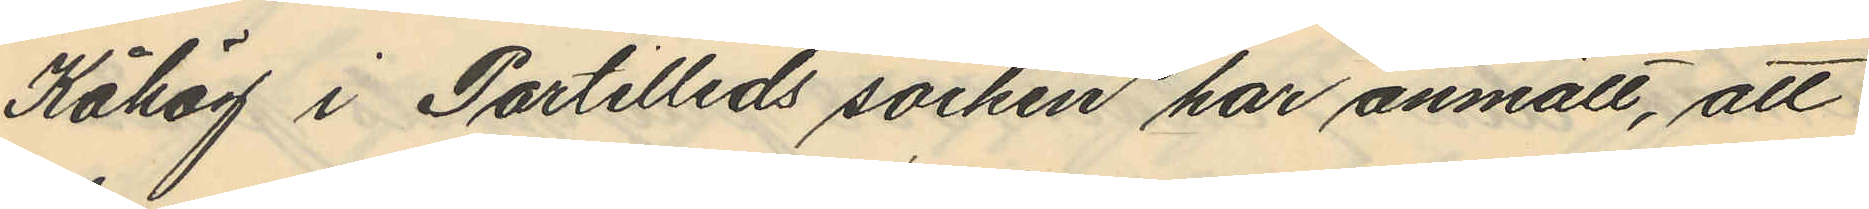Kåhög i Partilleds socken har anmält, att
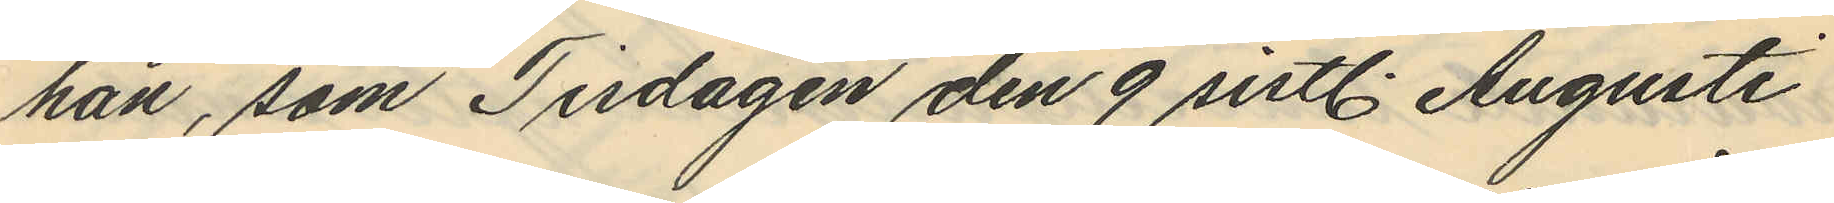han, som Tisdagen den 9 sistl. Augusti
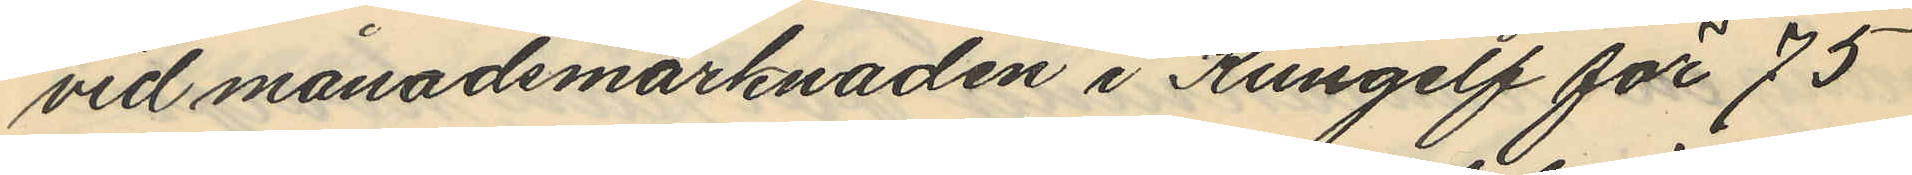vid månadsmarknaden i Kungelf för 75
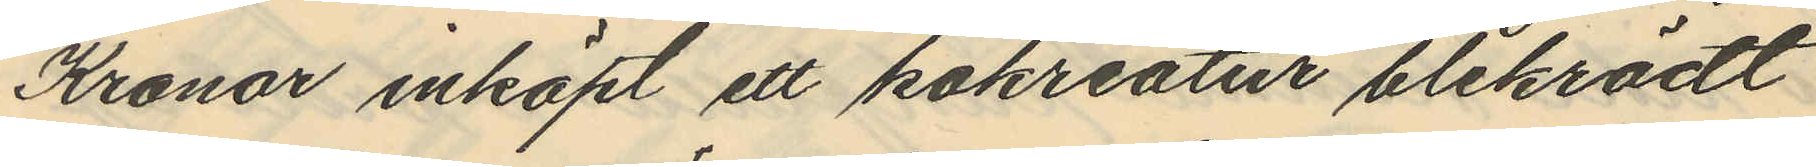Kronor inköpt ett kokreatur blekrödt
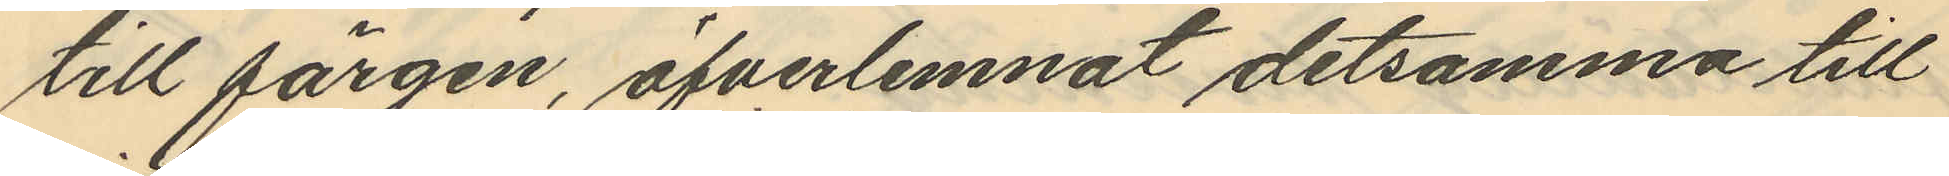till färgen, öfverlemnat detsamma till
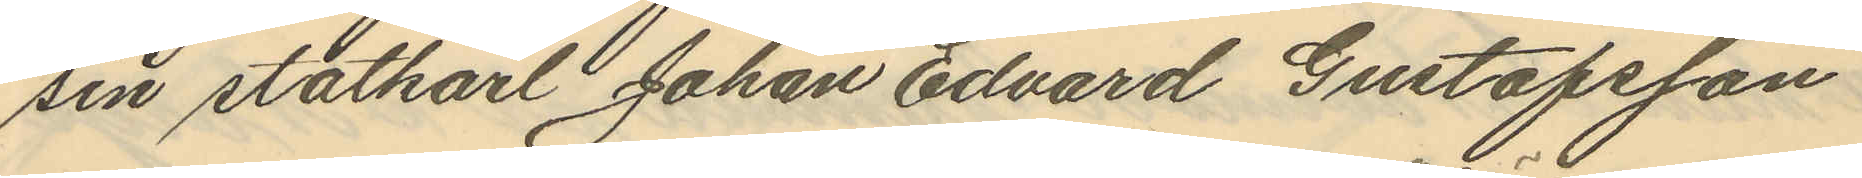sin statkarl Johan Edvard Gustafsson
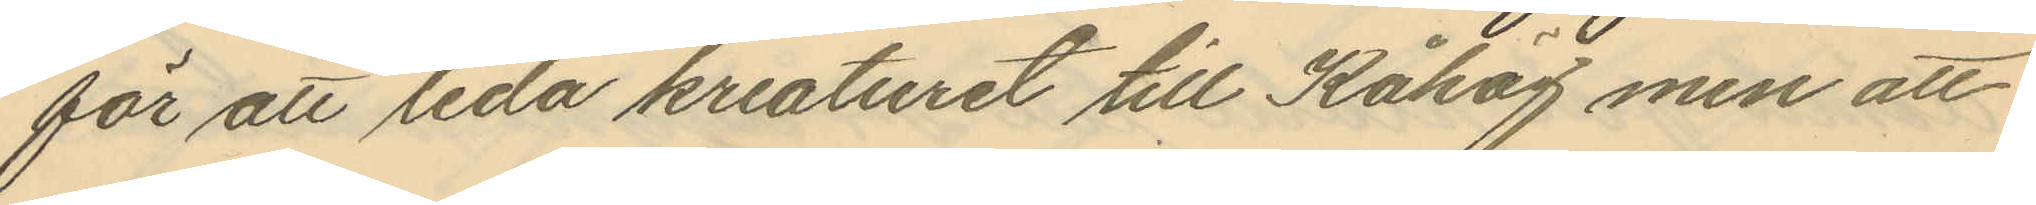för att leda kreaturet till Kåhög men att
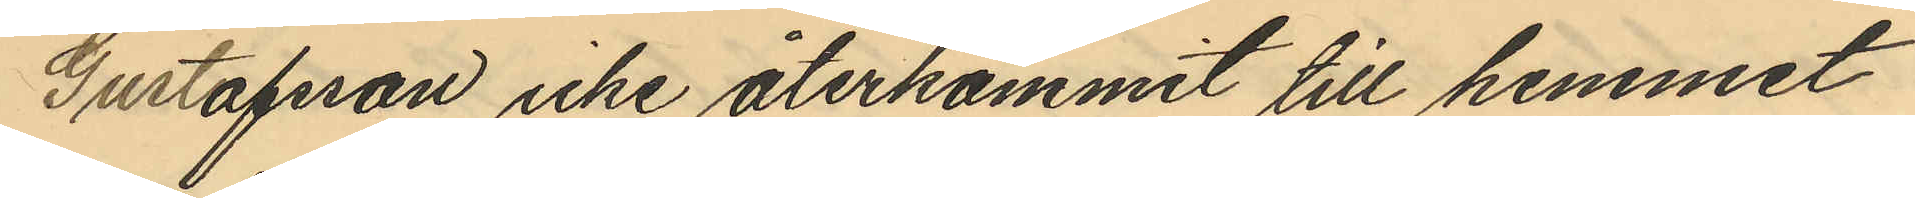Gustafsson icke återkommit till hemmet
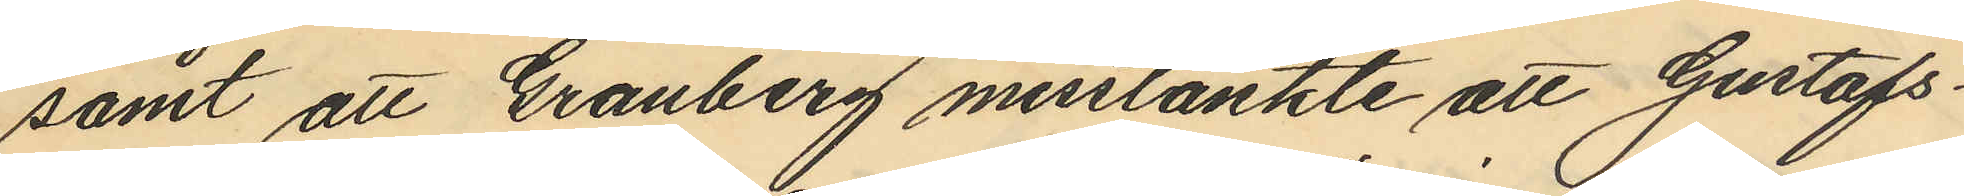samt att Granberg misstänkte att Gustafs¬
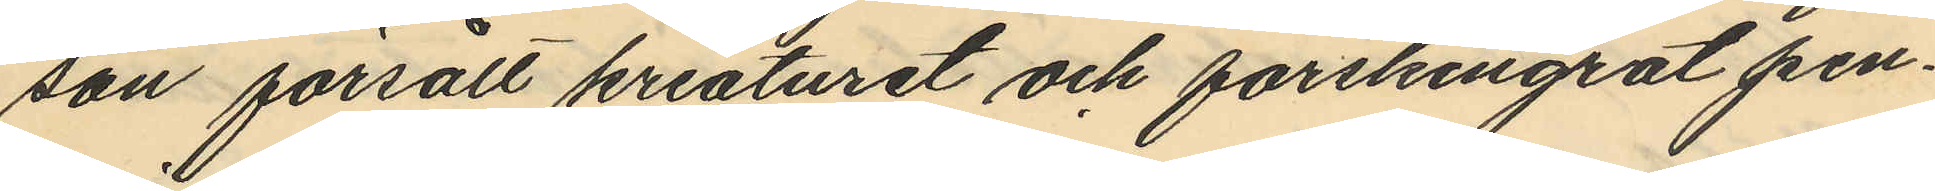son försålt kreaturet och förskingrat pen¬
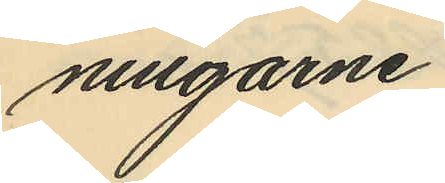ningarne.
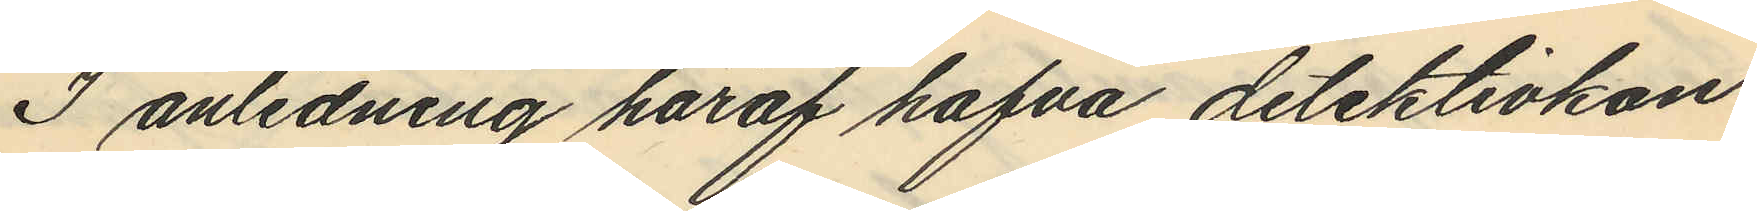I anledning häraf hafva detektivkon¬
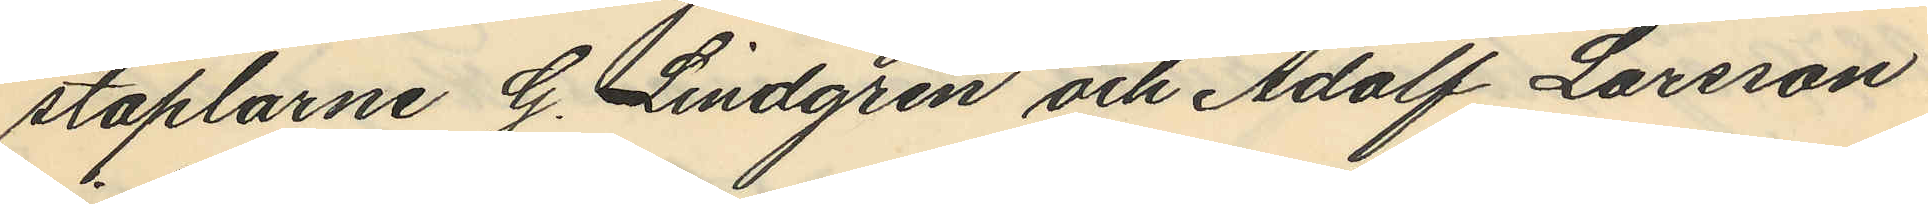staplarne G. Lindgren och Adolf Larsson
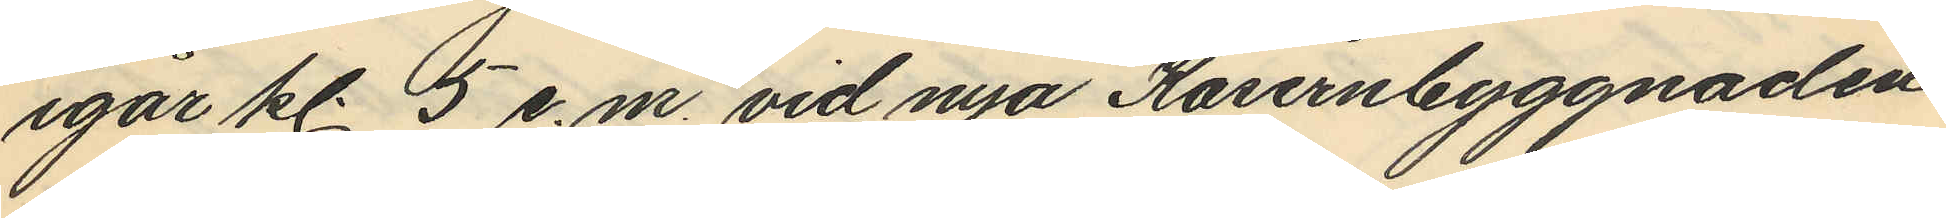igår kl. 5 e.m. vid nya Kasernbyggnaden
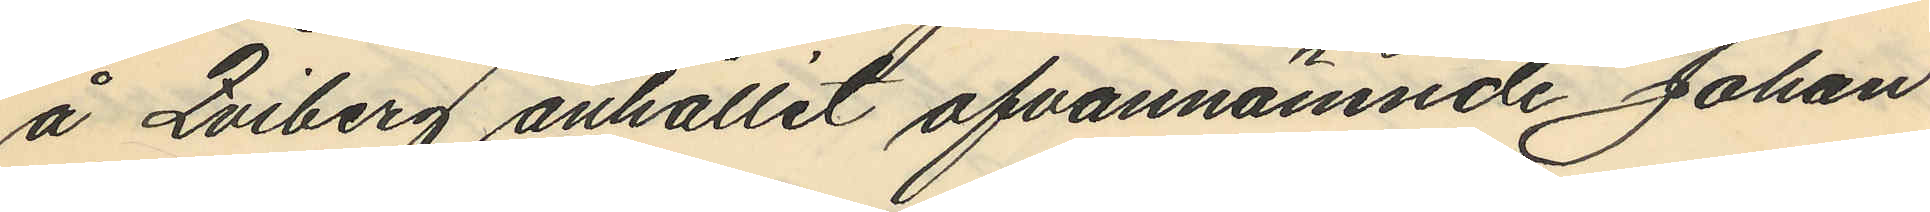å Qviberg anhållit ofvannämnde Johan
